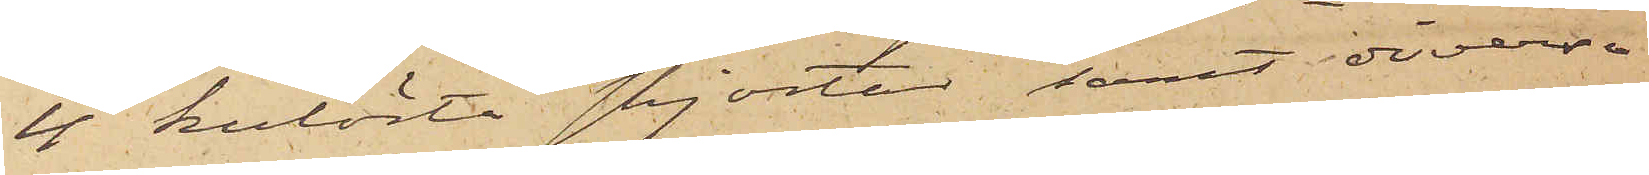4 kulörta skjortor; samt diverse
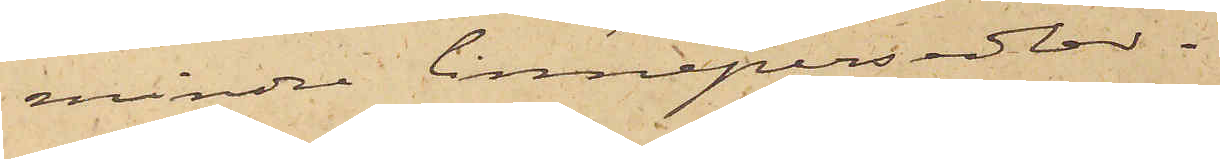mindre linnepersedlar.
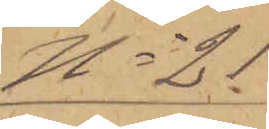No 21
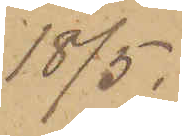18/5.
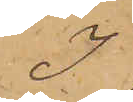I
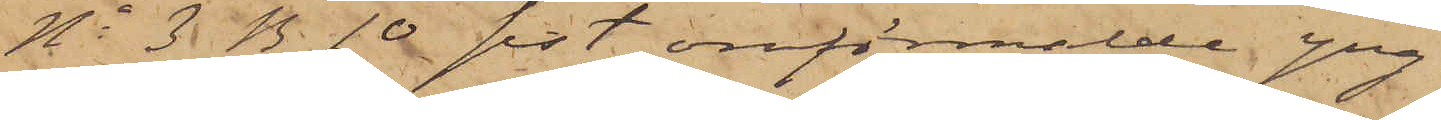No 3 B. 10 sist omförmälde yng¬
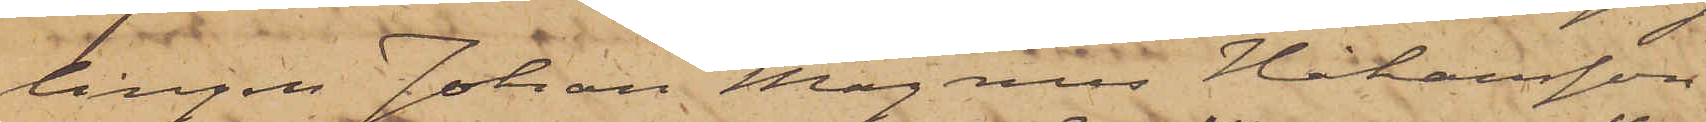lingen Johan Magnus Håkansson
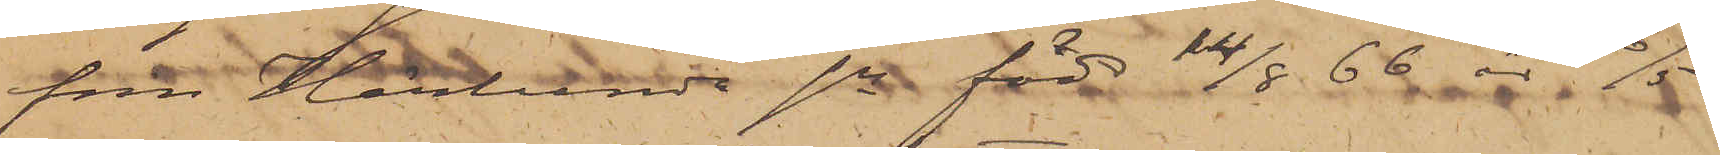från Härlunda sn född 14/8 66 är 16/5
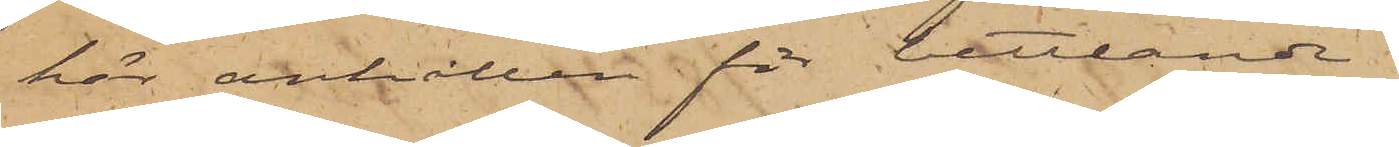här anhållen för bettlande.
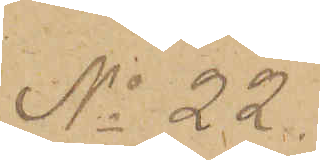No 22.
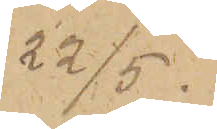22/5.
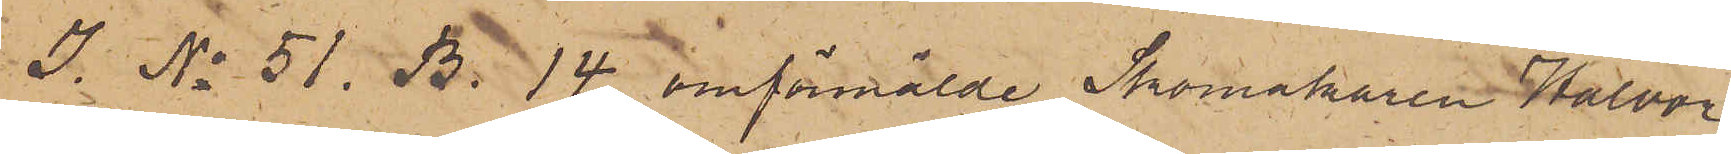I. No 51. B. 14 omförmälde Skomakaren Halvor
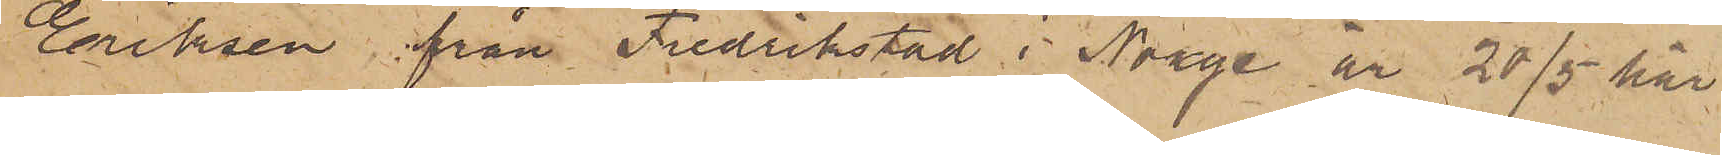Eriksen från Fredrikstad i Norge är 20/5 här
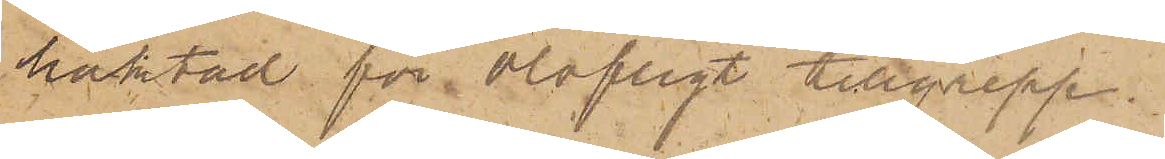häktad för olofligt tillgrepp.
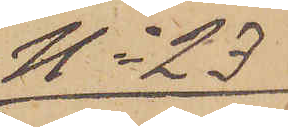No 23
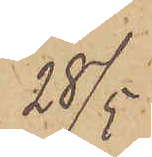28/5
